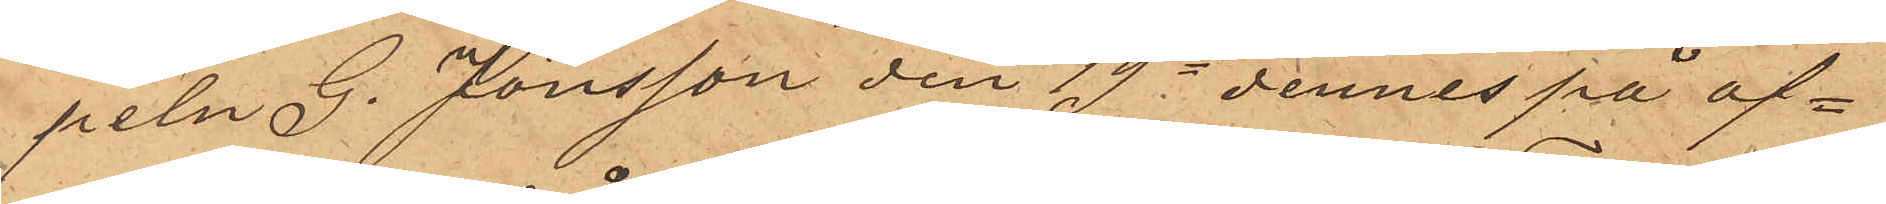peln G. Jönsson den 19e dennes på af¬
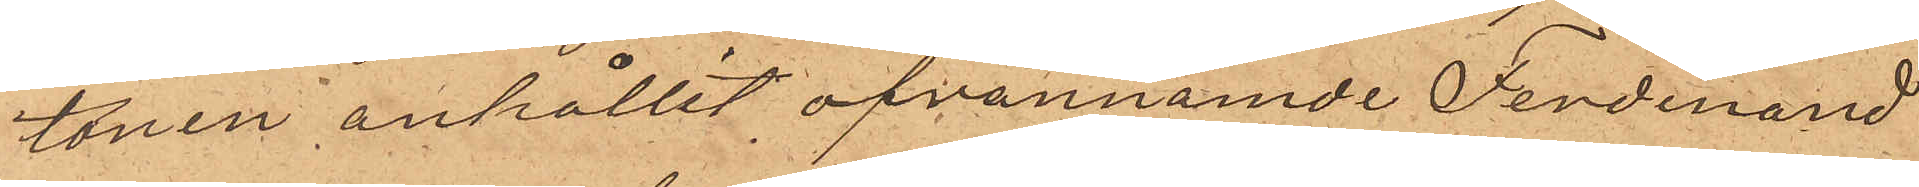tonen anhållit ofvannämnde Ferdinand
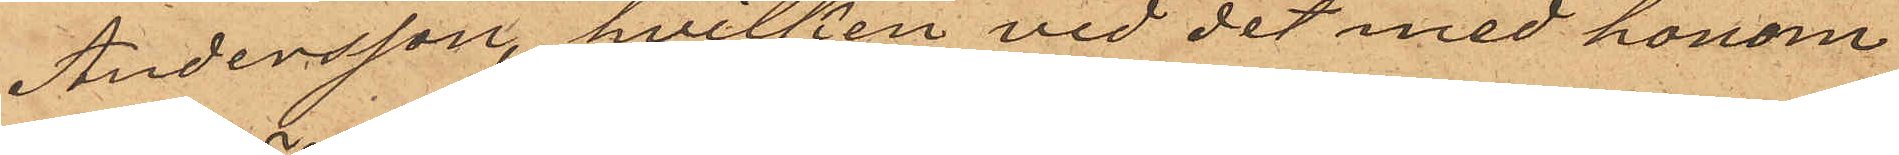Andersson, hvilken vid det med honom
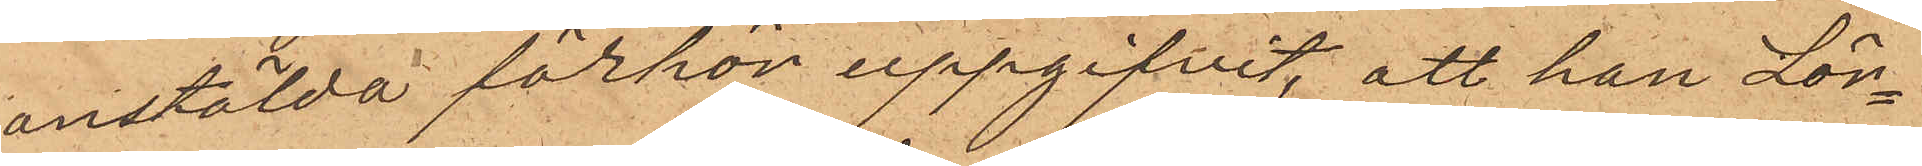anstälda förhör uppgifvit, att han Lör¬
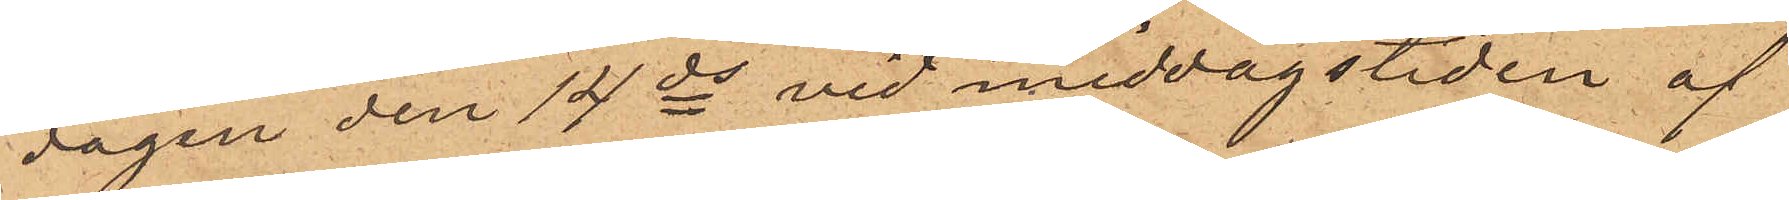dagen den 14 ds vid middagstiden af
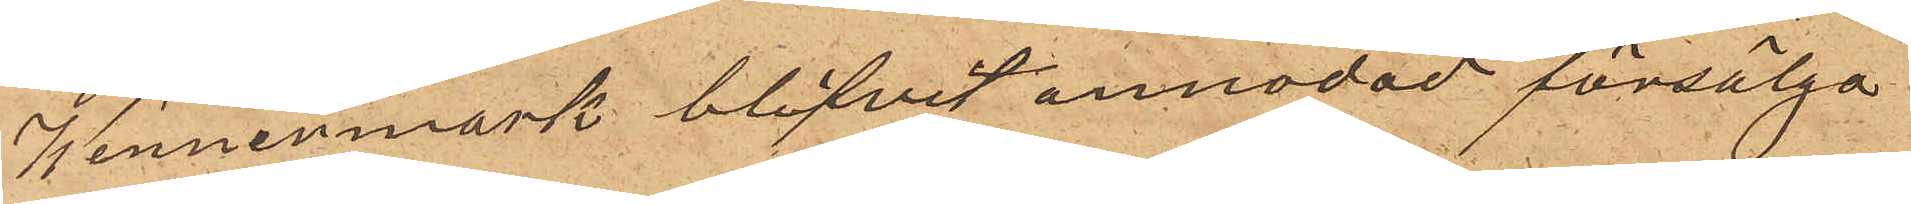Wennermark blifvit anmodad försälja
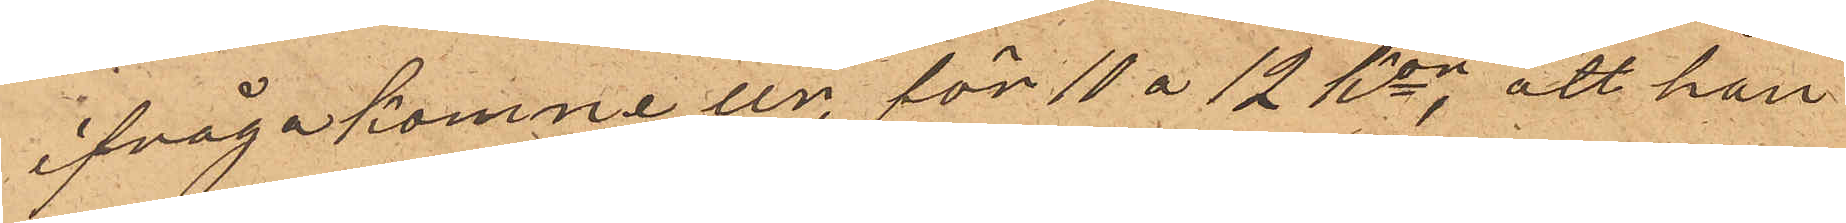ifrågakomne ur, för 11 á 12 kor; att han
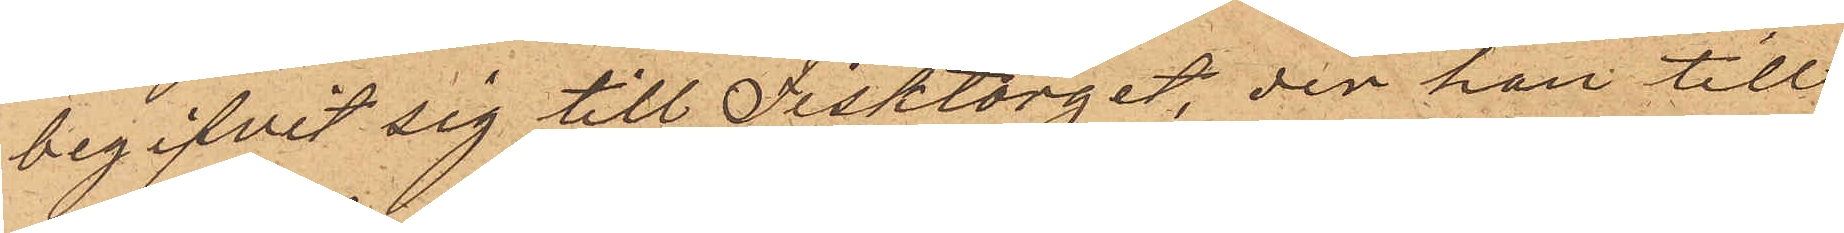begifvit sig till Fisktorget, der han till
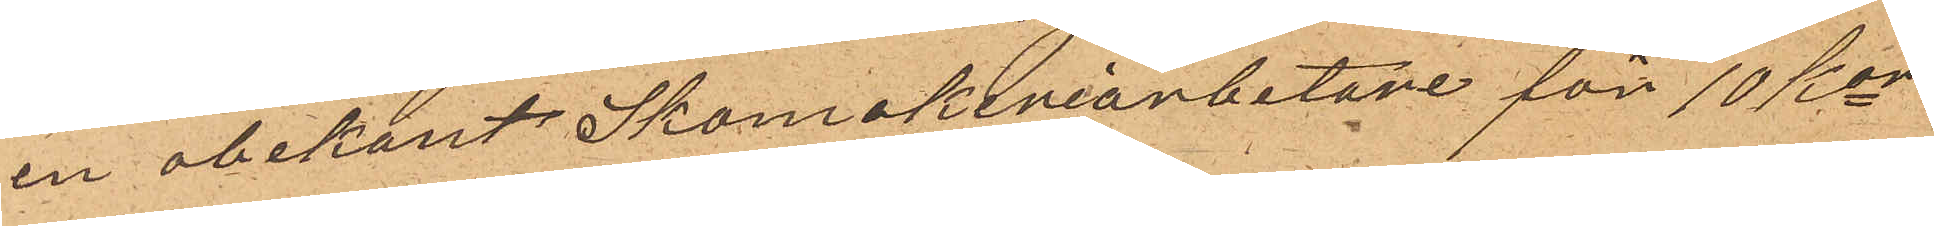en obekant Skomakeriarbetare för 10 Kor
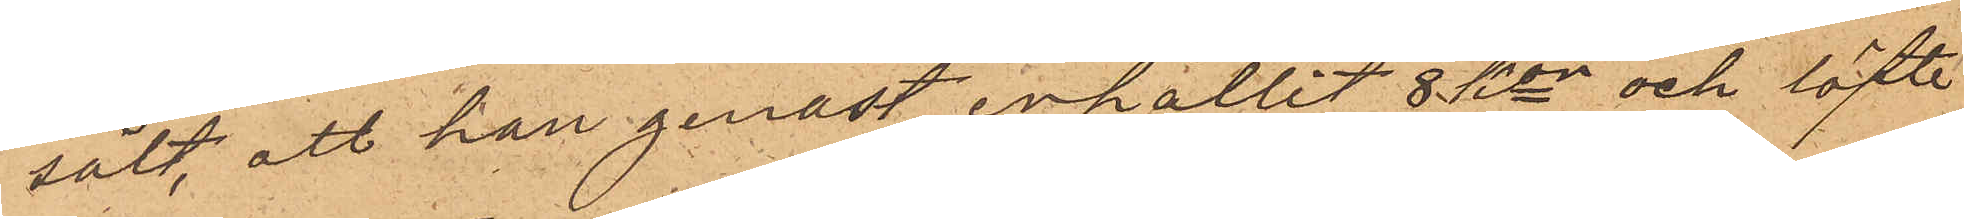sålt, att han genast erhållit 8 kor och löfte
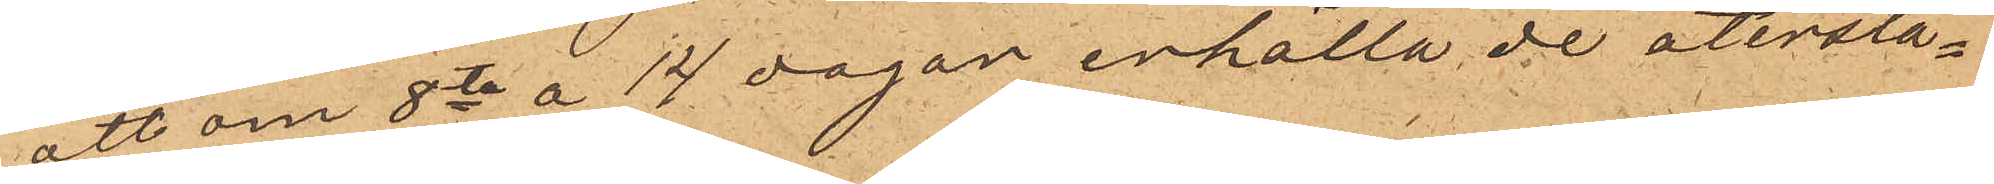att om 8ta a 14 dagar erhålla de återstå¬
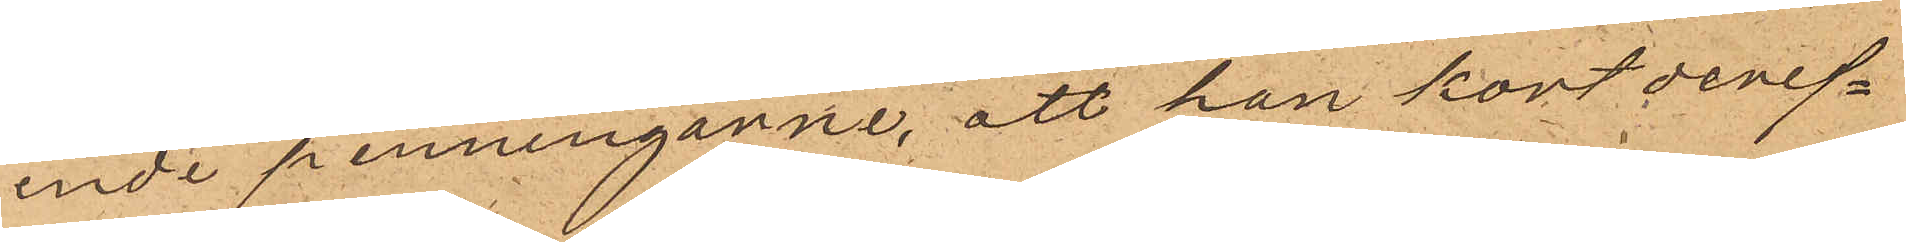ende penningarne, att han kort deref¬
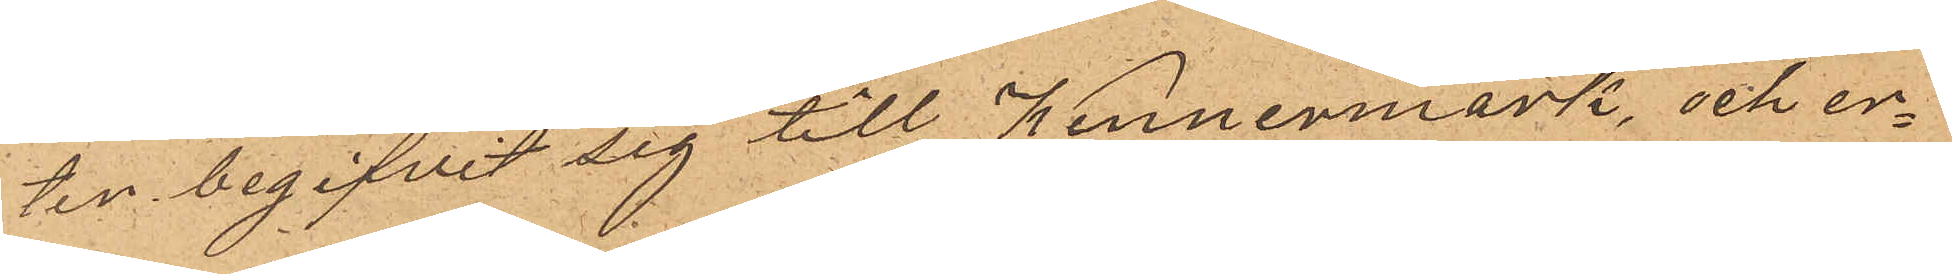ten begifvit sig till Wennermark, och er¬
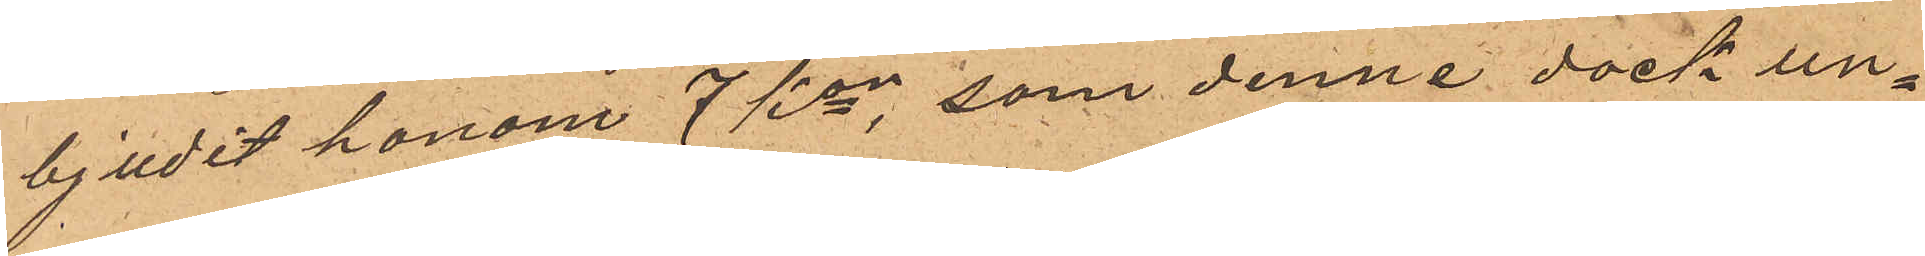bjudit honom 7 kor, som denne dock un¬
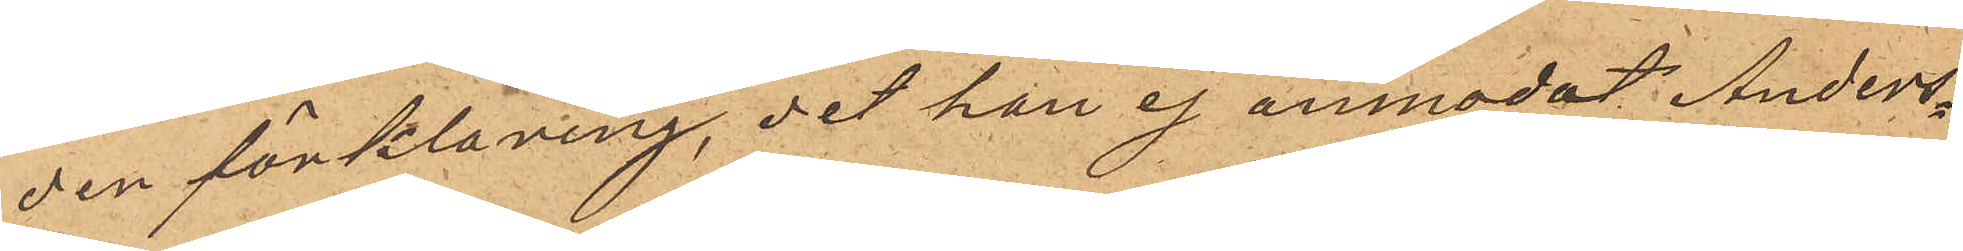der förklaring, det han ej anmodat Anders¬
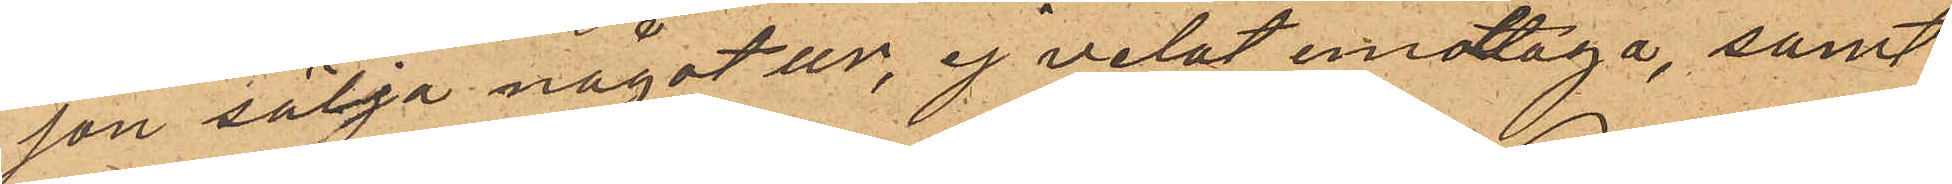son sälja något ur, ej velat emottaga, samt
